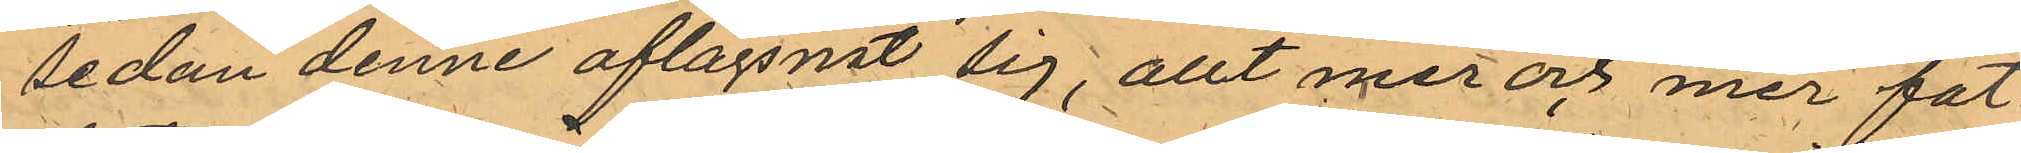sedan denne aflägsnat sig, allt mer och mer fat¬
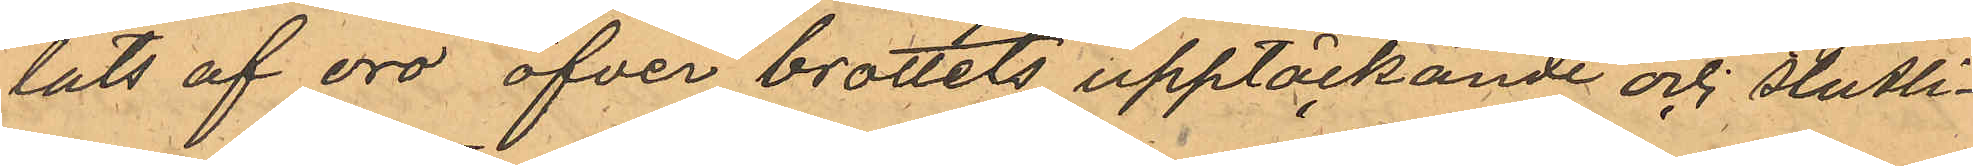tats af oro öfver brottets upptäckande och slutli¬
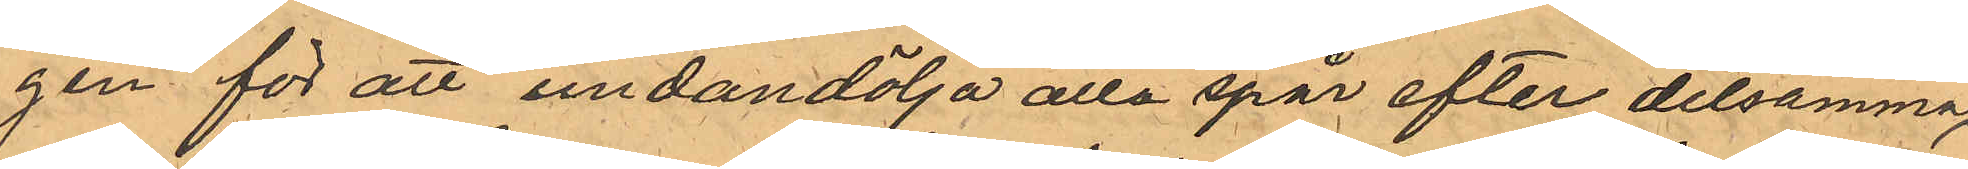gen för att undandölja alla spår efter detsamma,
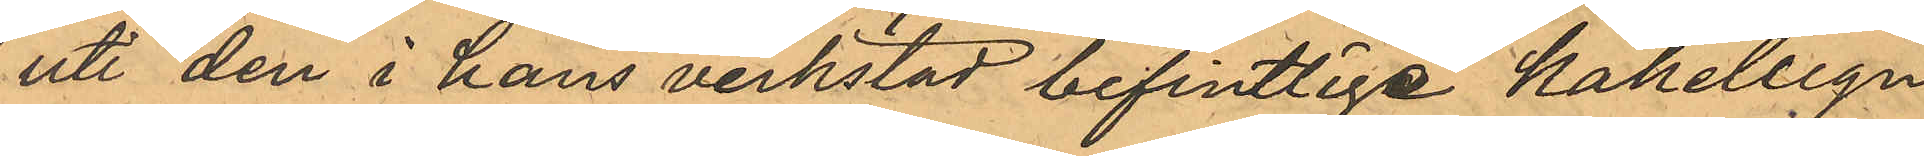uti den i hans verkstad befintlige kakelugn
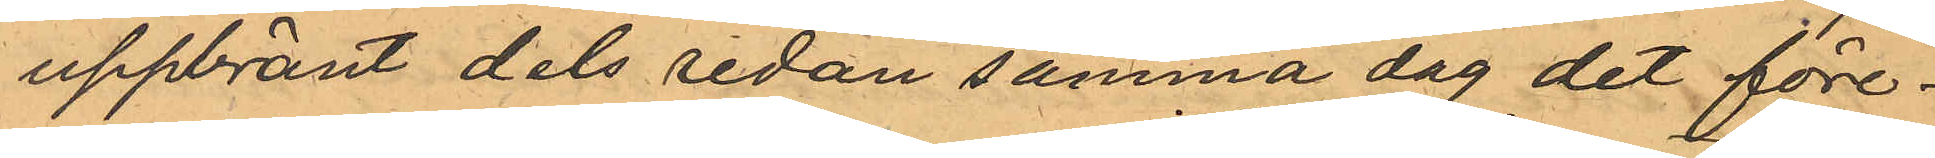uppbränt dels redan samma dag det före¬
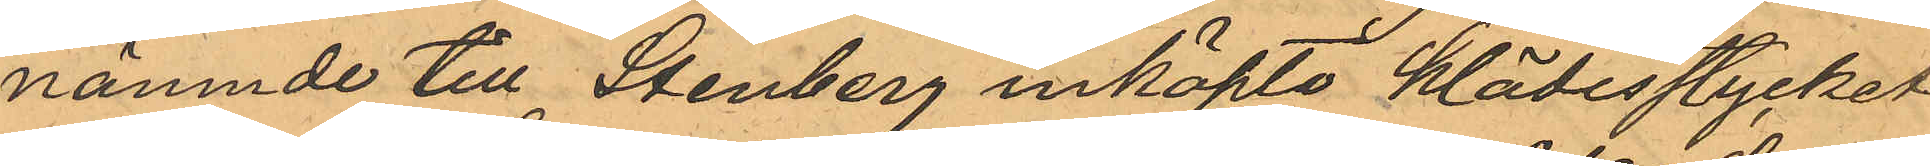nämnde till Stenberg inköpta klädesstycket
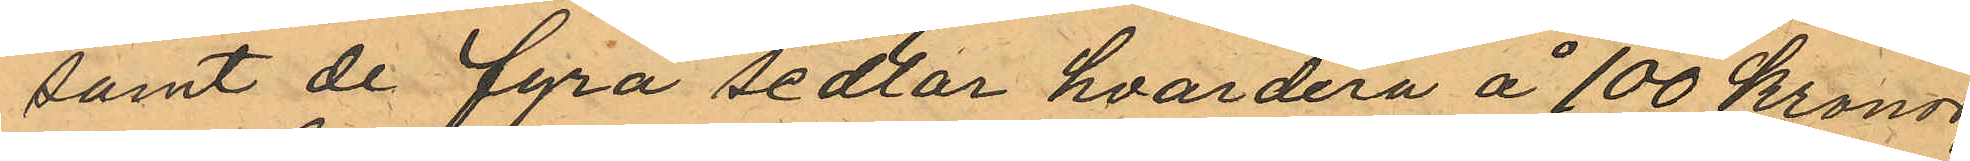samt de fyra sedlar hvardera å 100 Kronor,
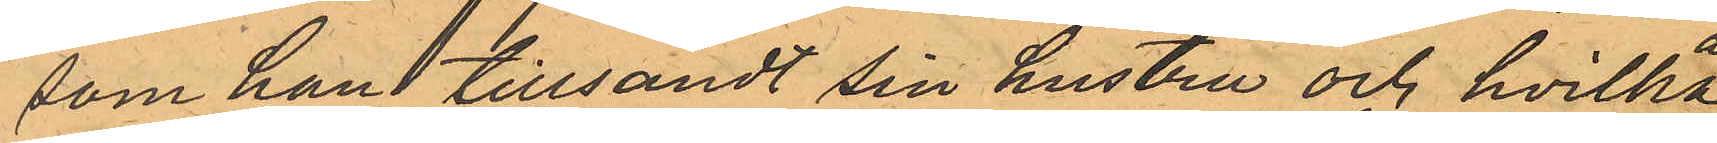som han tillsandt sin hustru och hvilka
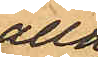alla
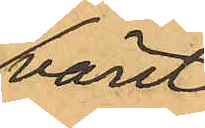varit
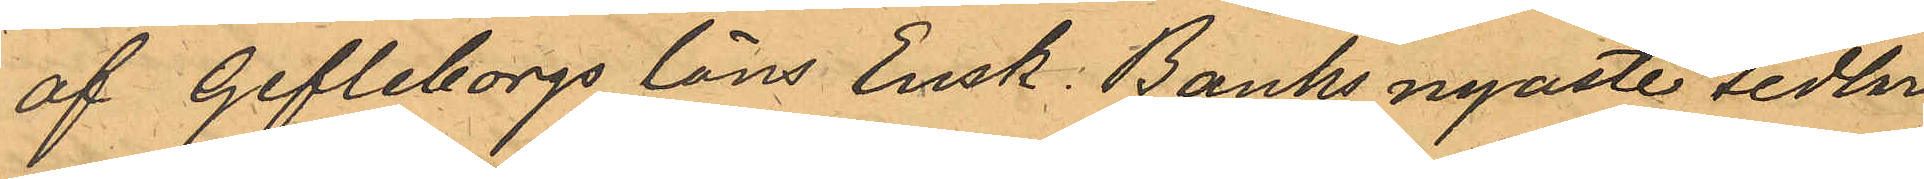af Gefleborgs Läns Ensk. Banks nyaste sedlar
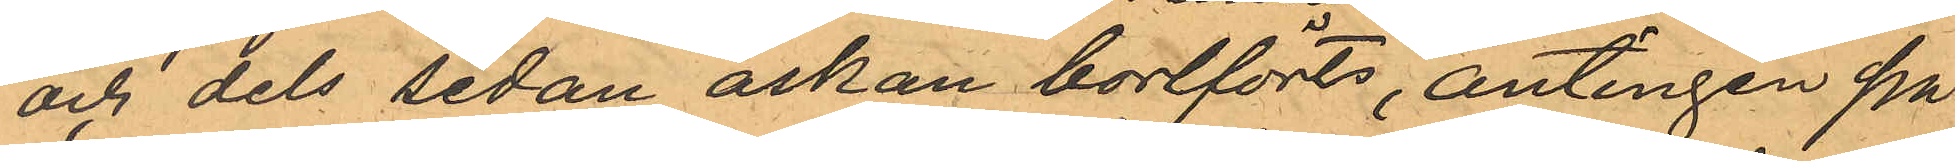och dels sedan askan bortförts, antingen på
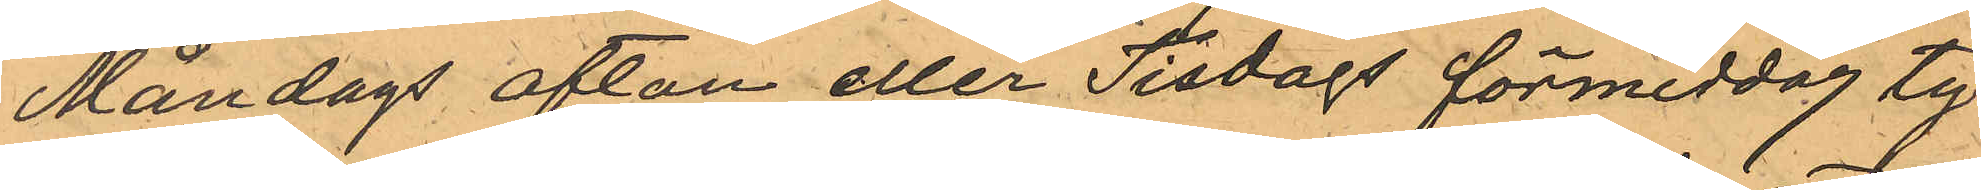Måndags afton eller Tisdags förmiddag ty¬
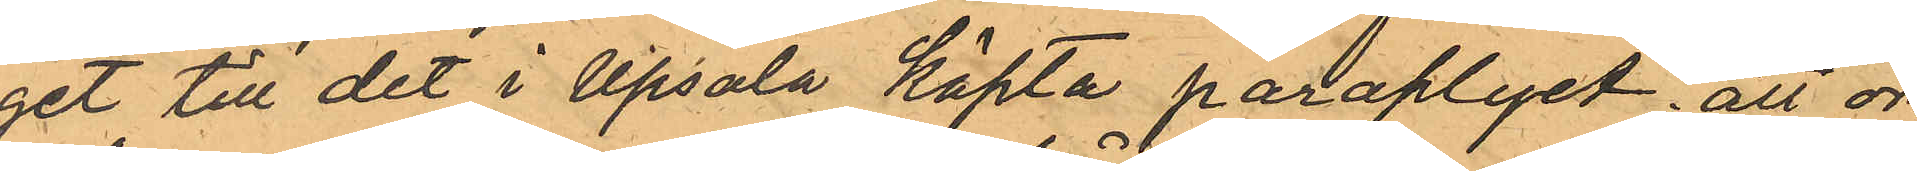get till det i Upsala köpta paraplyet; att or¬
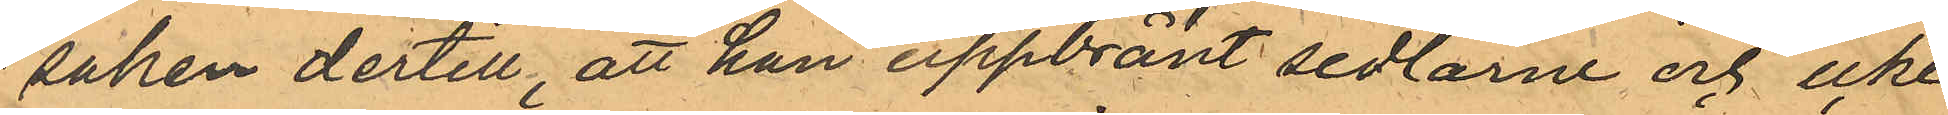saken dertill, att han uppbränt sedlarne och icke
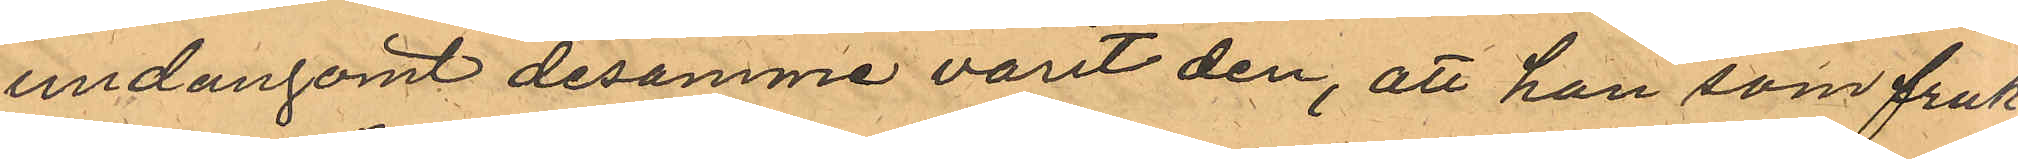undangömt desamme varit den, att han som fruk¬
